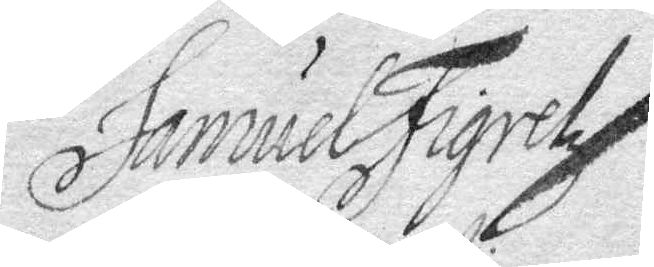Samuel Figrelz
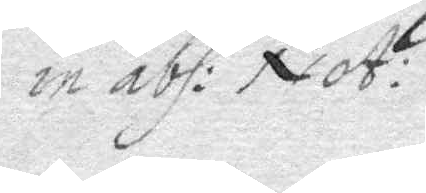in abs: Not:
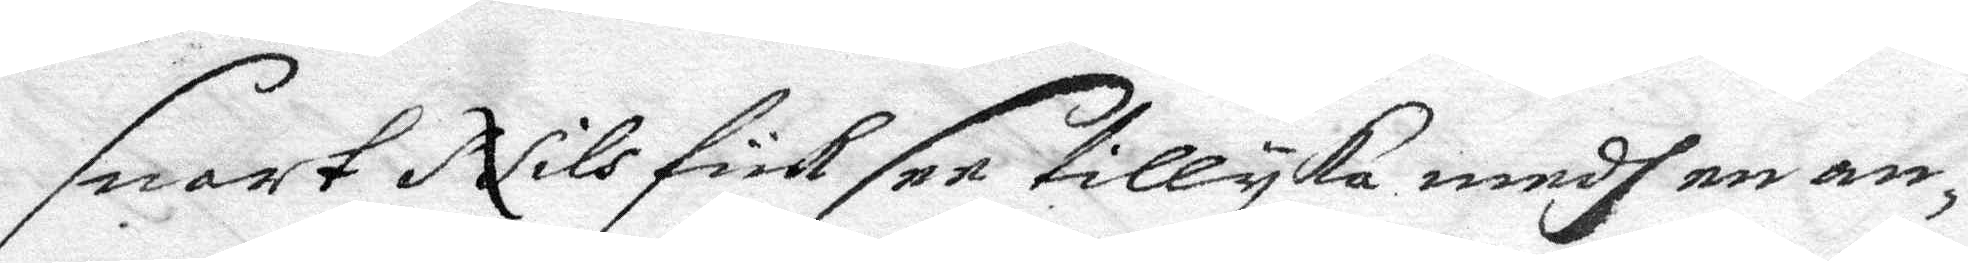snart Nils fick see tillyka medh en an¬
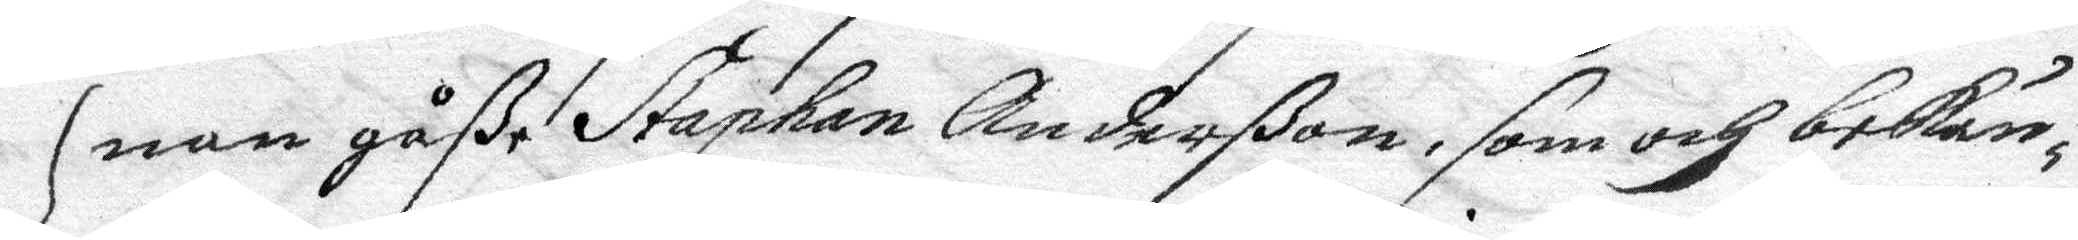nan gåße Stephan Anderßon, som och bekän¬
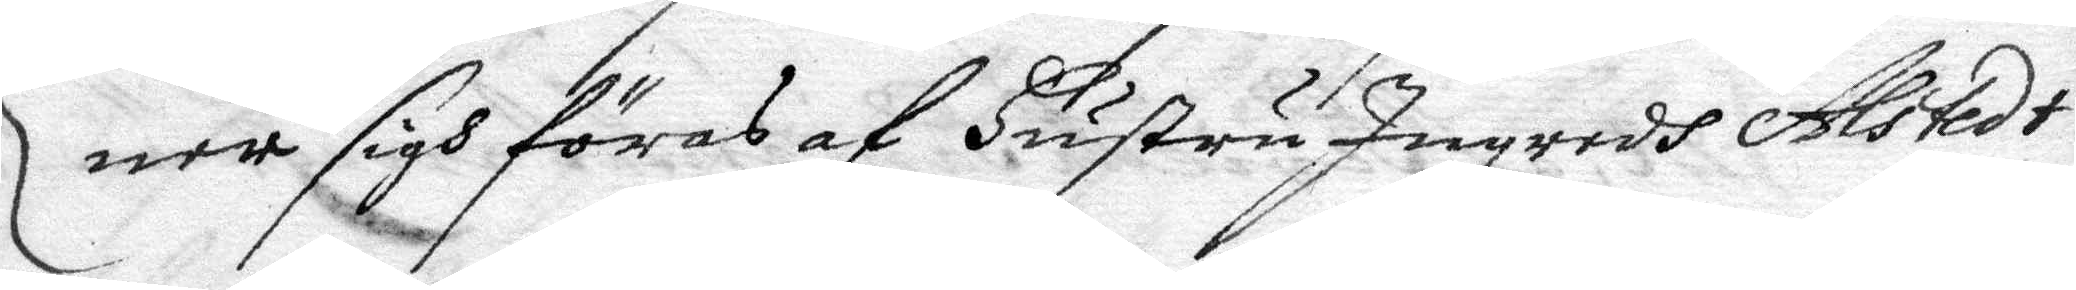ner sigh föras af hustru Ingredh Alstedt
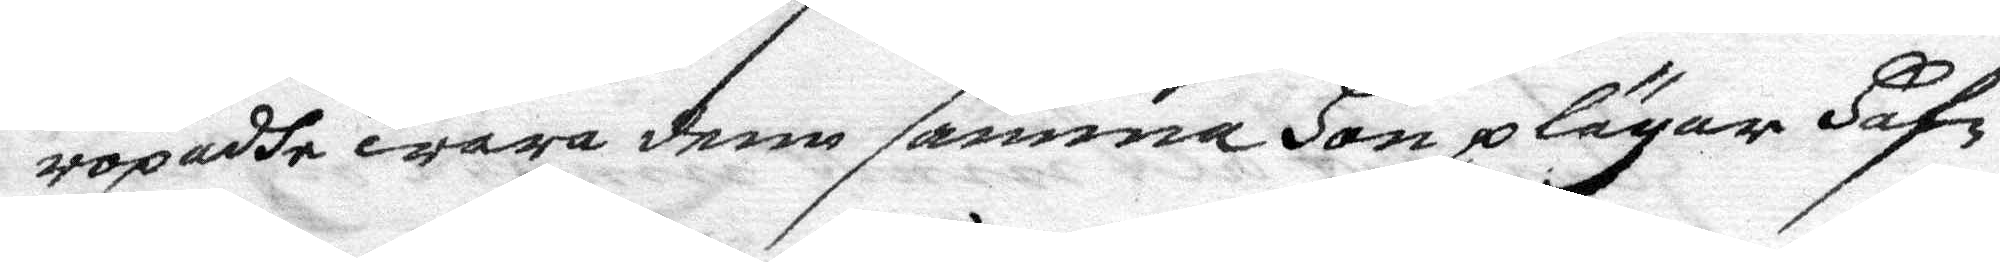ropadhe wara dem samma hon plägar haf¬
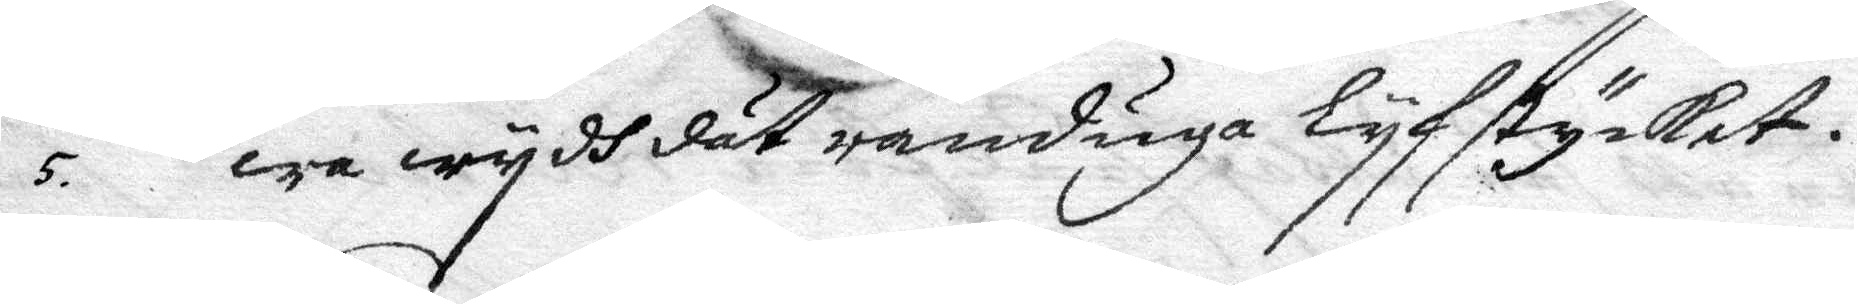5. wa wydh dät randuga lyfstycket.
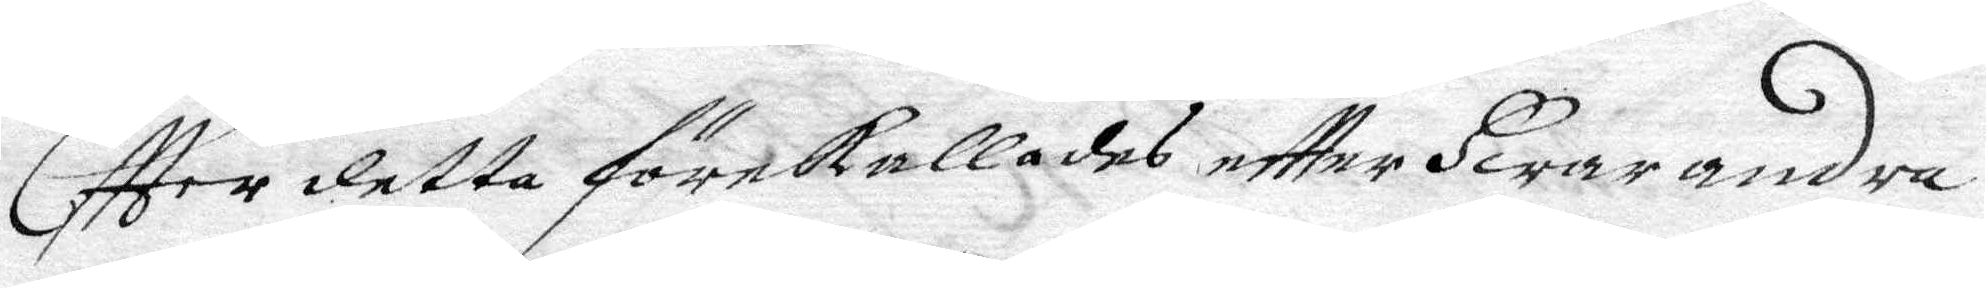Eftter detta förekallades eftter Hwarandra
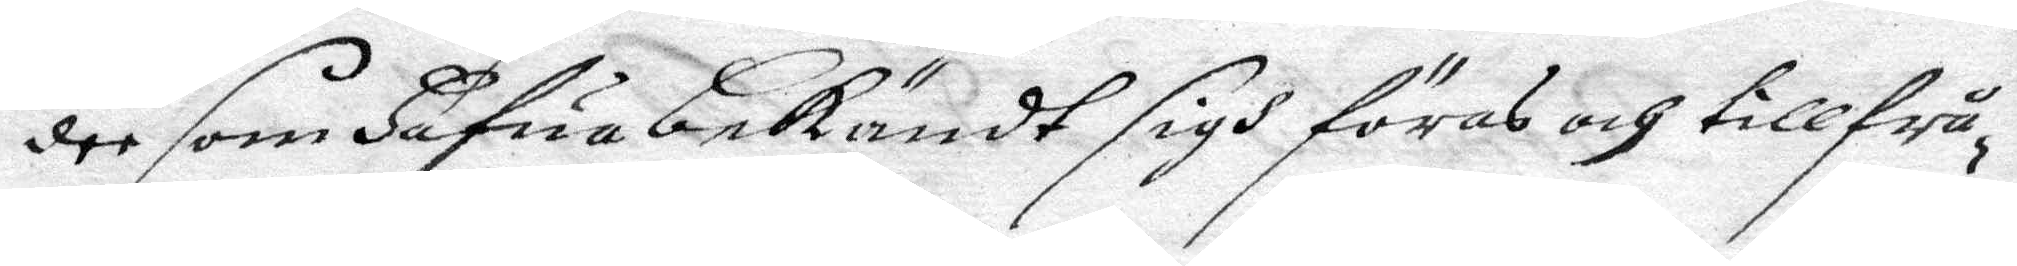dee som hafua bekändt sigh föras och tillfrå¬
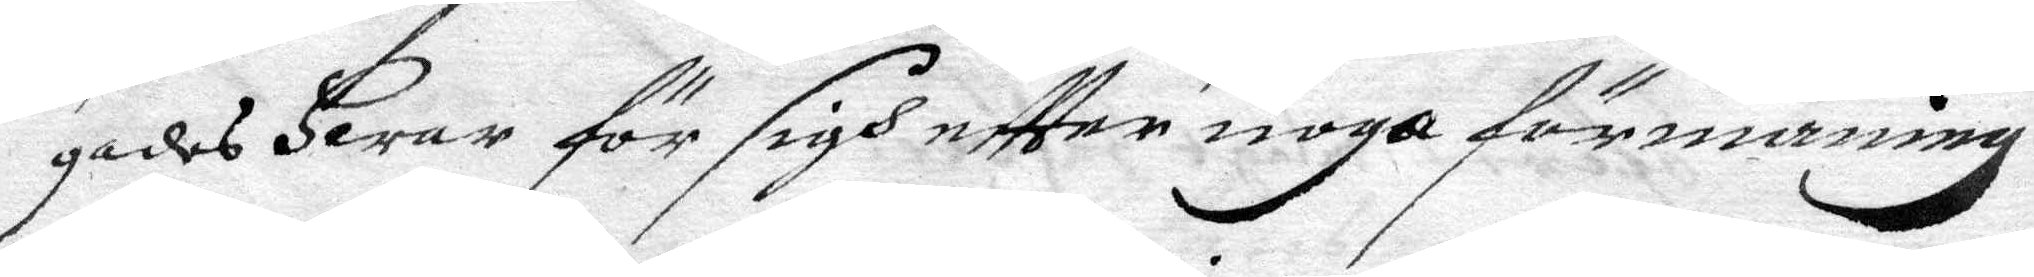gades hwar för sigh eftter noga förmaning
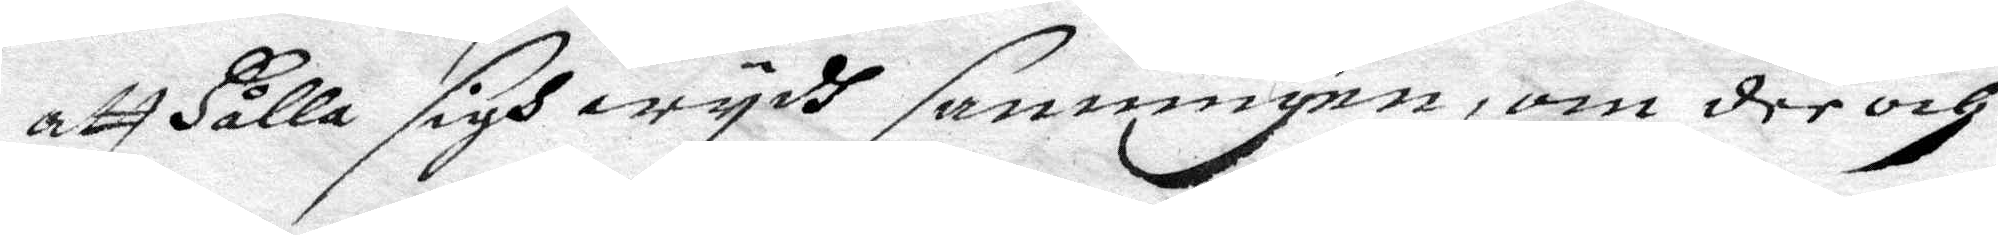att hålla sigh wydh sanningen, om dee och
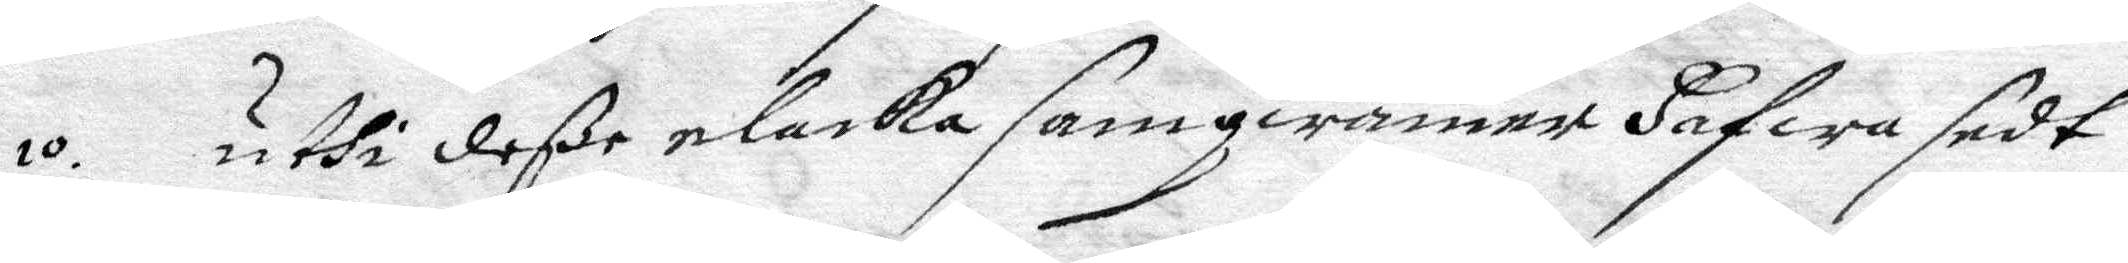10. uthi deße elacka samqwämer hafwa sedt
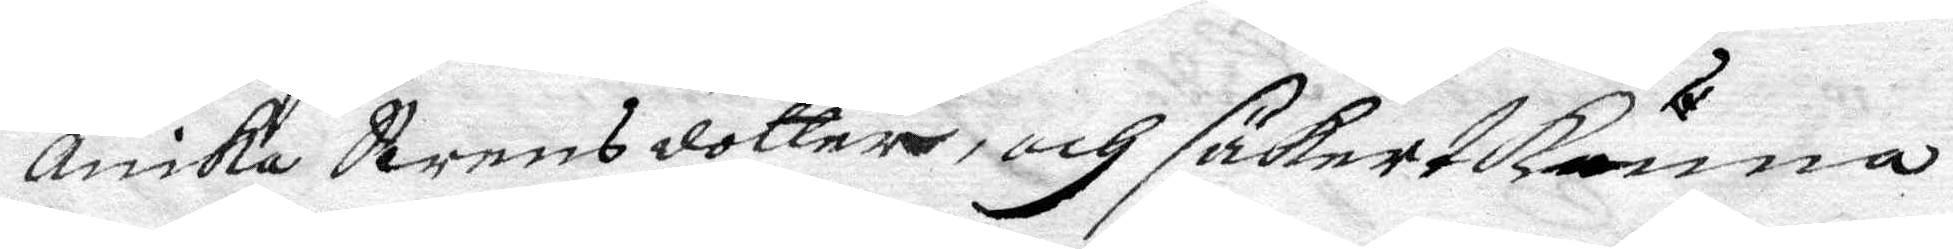Anika Swensdotter och säkert kunna
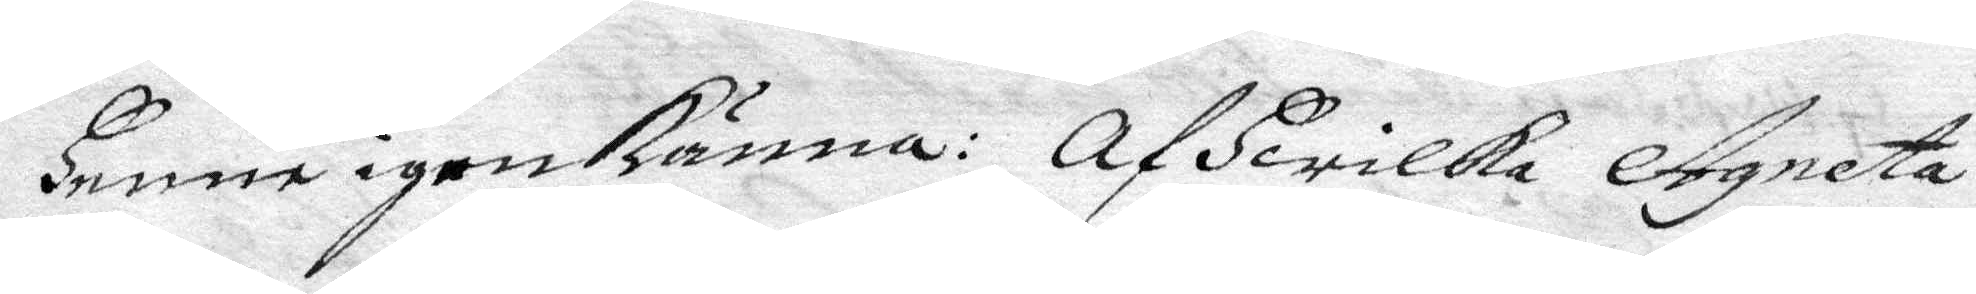henne igen känna: Af hwilka Agneta
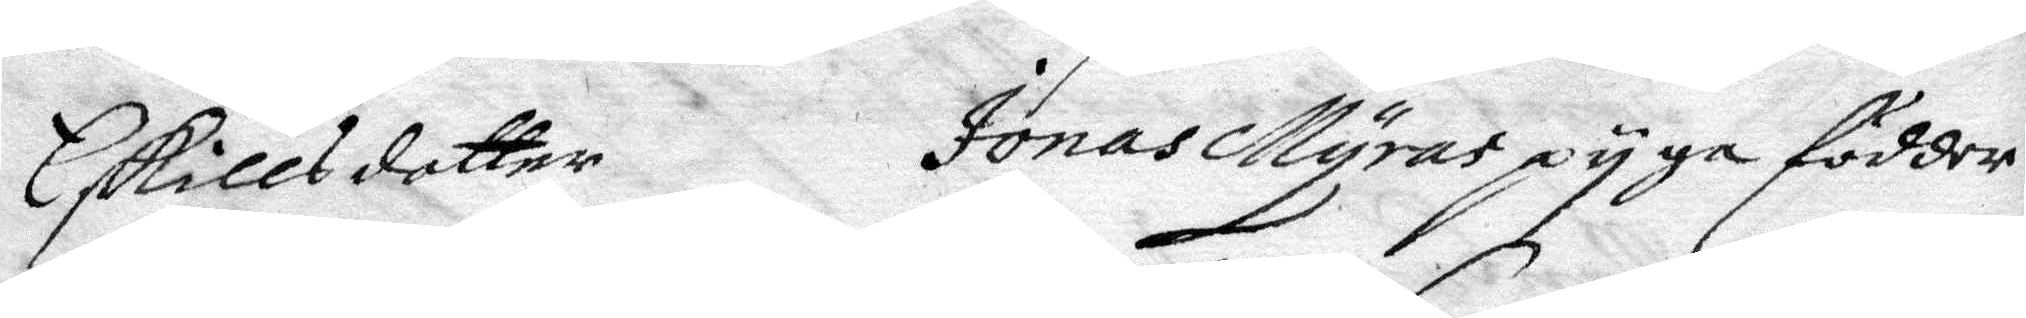Eskillsdotter Jonas Myras pyga födder
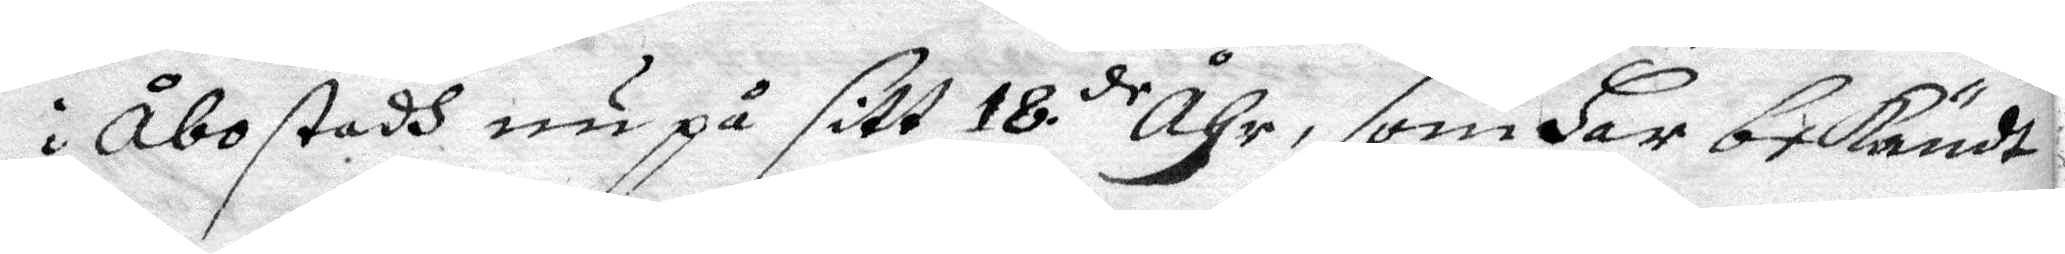i Åbo stadh nu på sitt 18de åhr, som har bekändt
